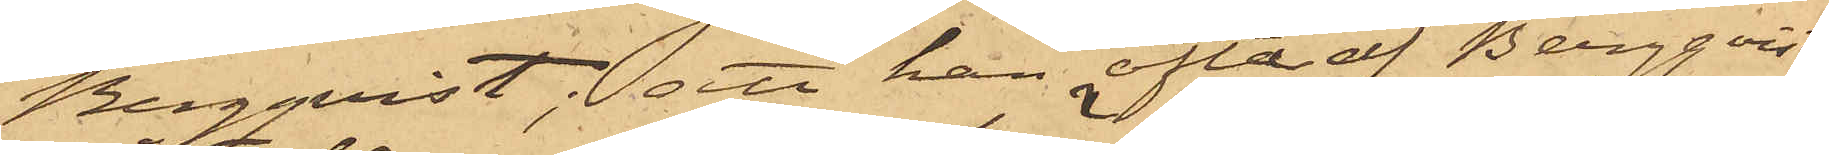Bergquist; att han ofta af Bergqvist
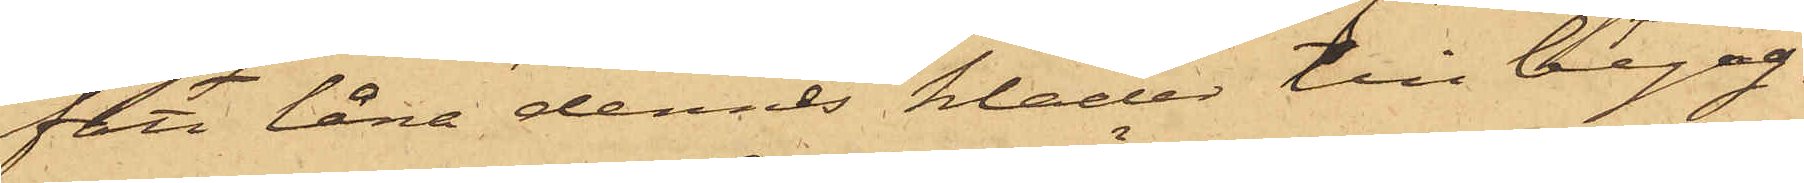fått låna dennes kläder till begag¬
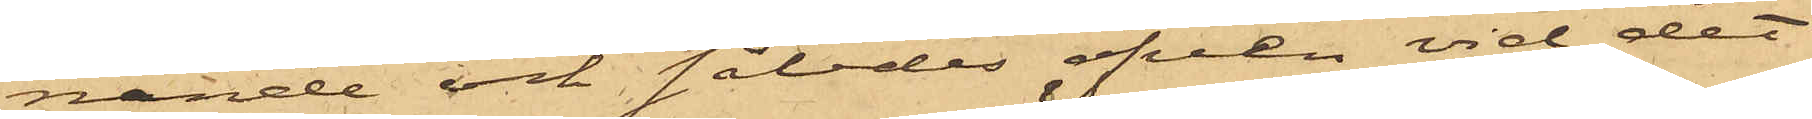nande och således äfven vid det
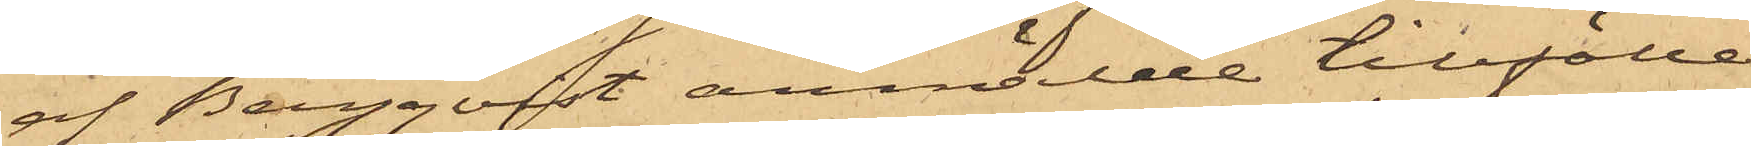af Bergqvist anmälde tillfälle,
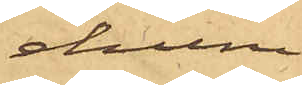ehuru
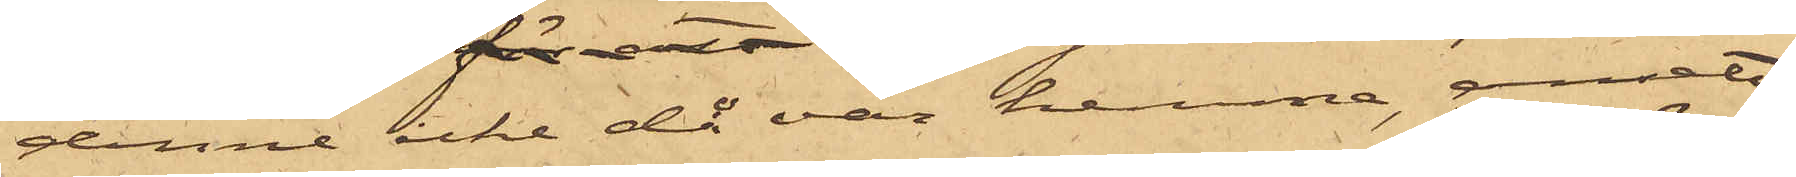denne icke då var hemma, ansett
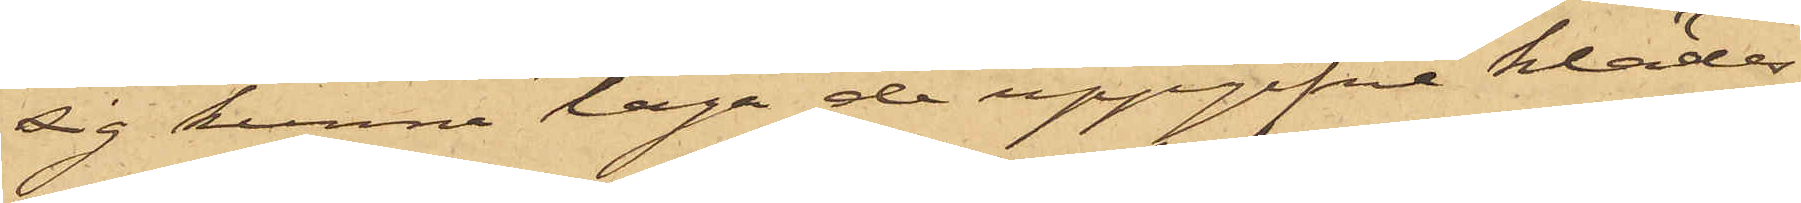sig kunna taga de uppgifne klädes¬
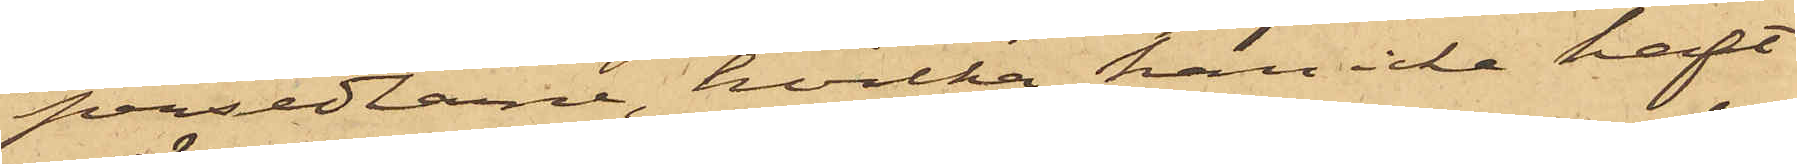persedlarne, hvilka han icke haft
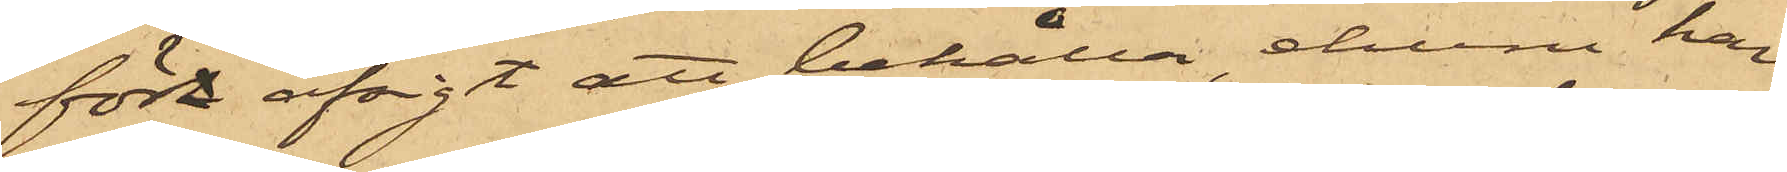fört afsigt att behålla, ehuru han
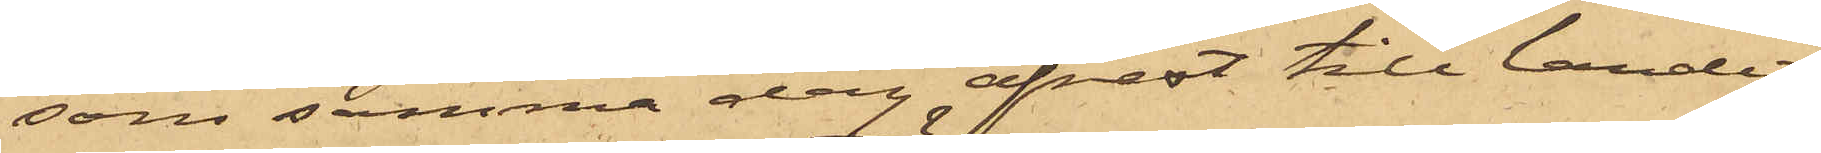som samma dag afrest till landet,
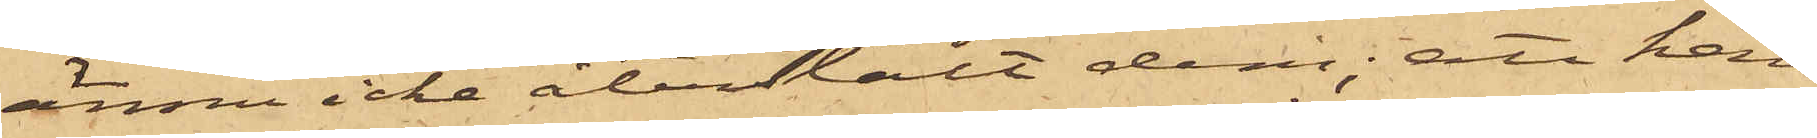ännu icke återstält dem; att han
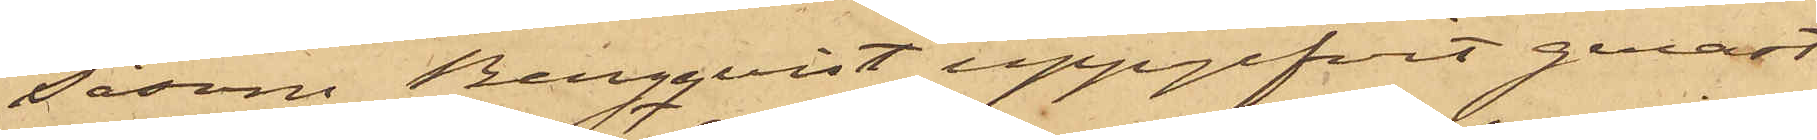såsom Bergqvist uppgifvit genast
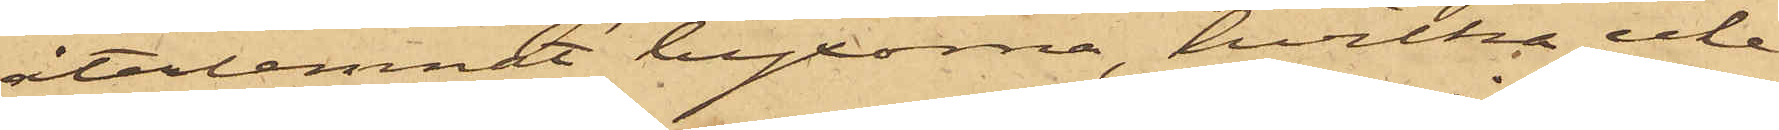återlemnat byxorna, hvilka icke
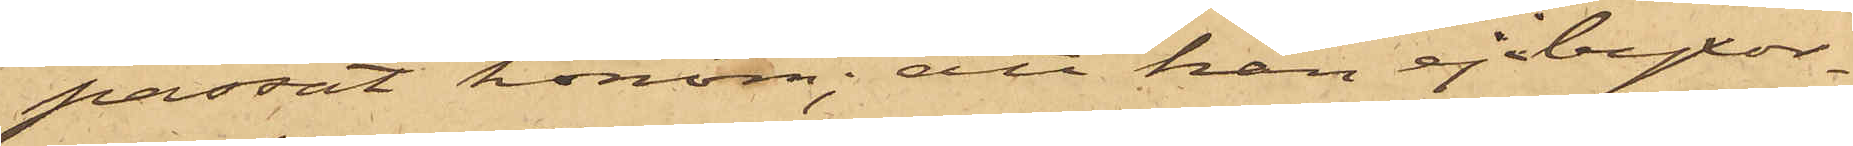passat honom; att han ej i byxor¬
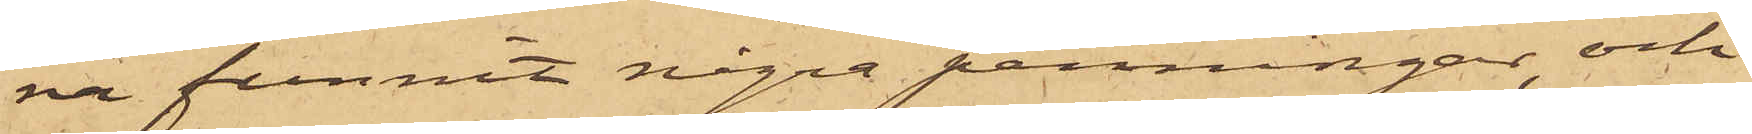na funnit några penningar och
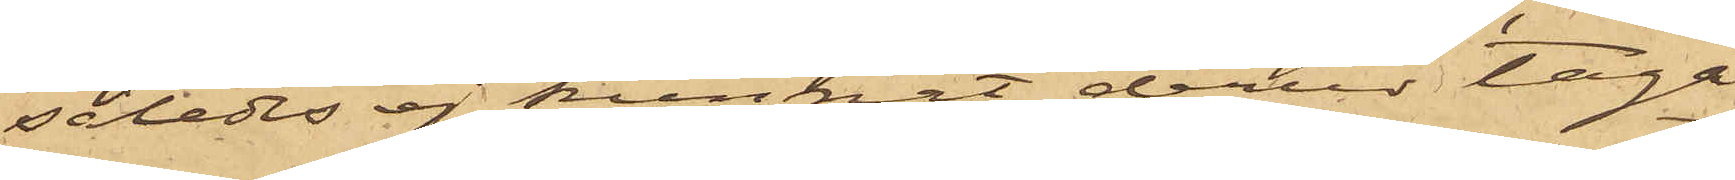således ej kunnat derur taga
